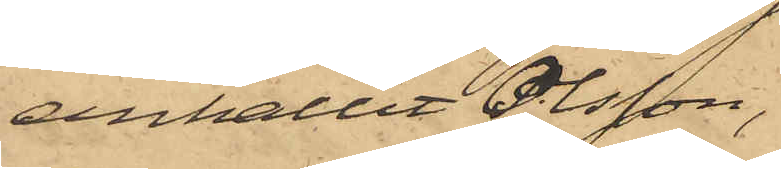anhållit Olsson,
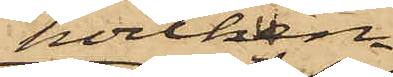hvilken
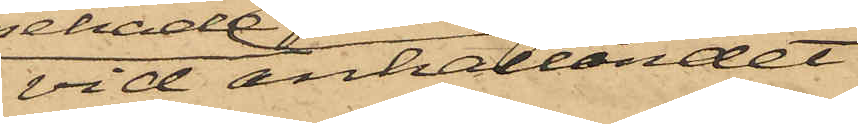vid anhållandet
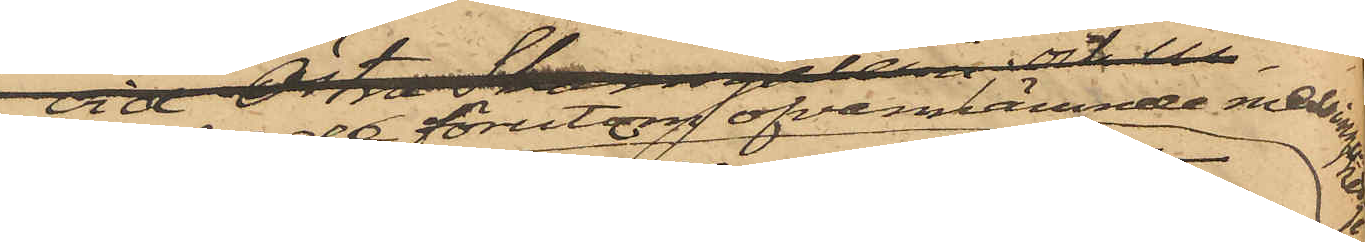innehade förutom ofvannämnde messingskedja
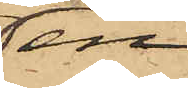en
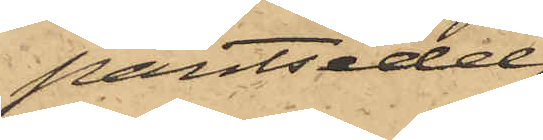pantsedel,
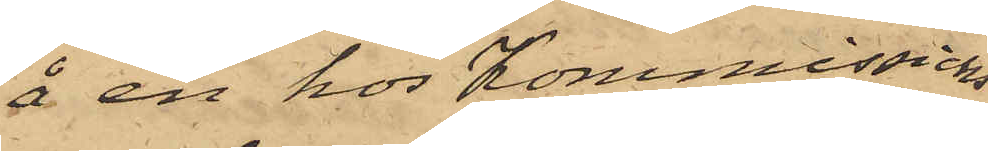å en hos Kommissions¬
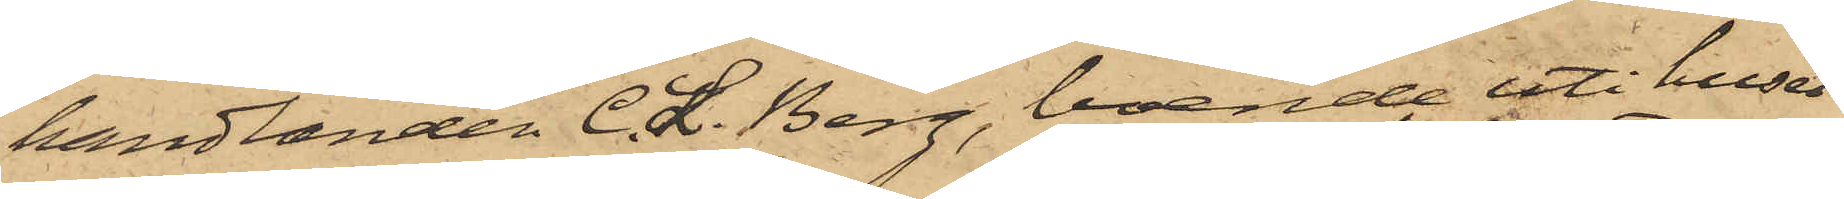handlanden C. L. Berg, boende uti huset
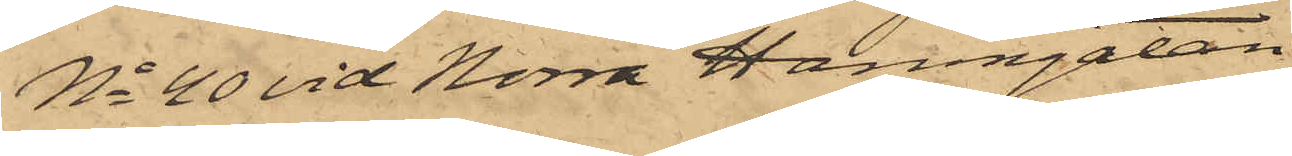No 40 vid Norra Hamngatan
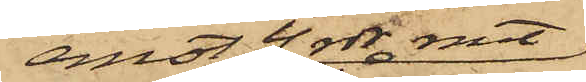emot 4 rdr rmt,
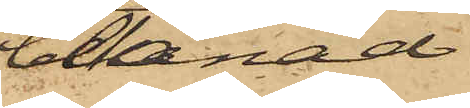belånad
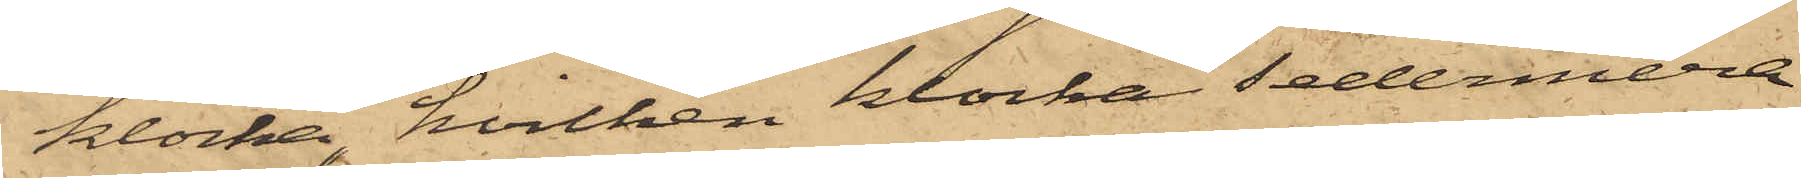klocka, hvilken klocka sedermera
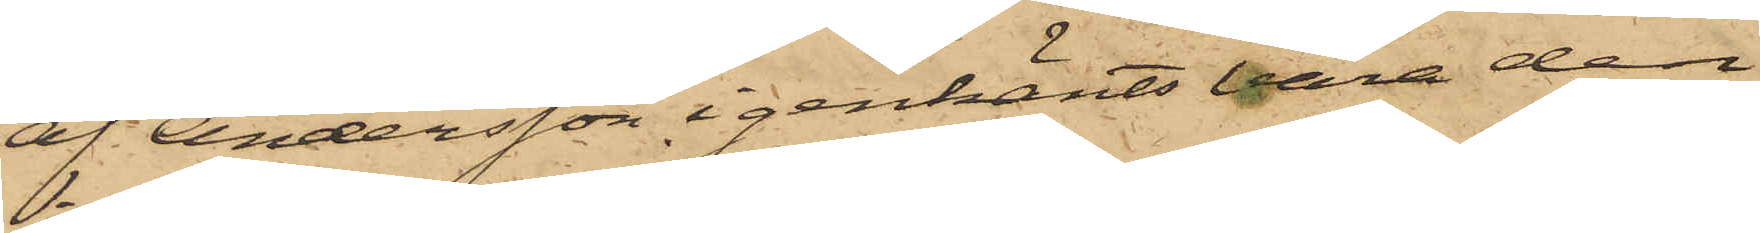af Andersson igenkänts vara den
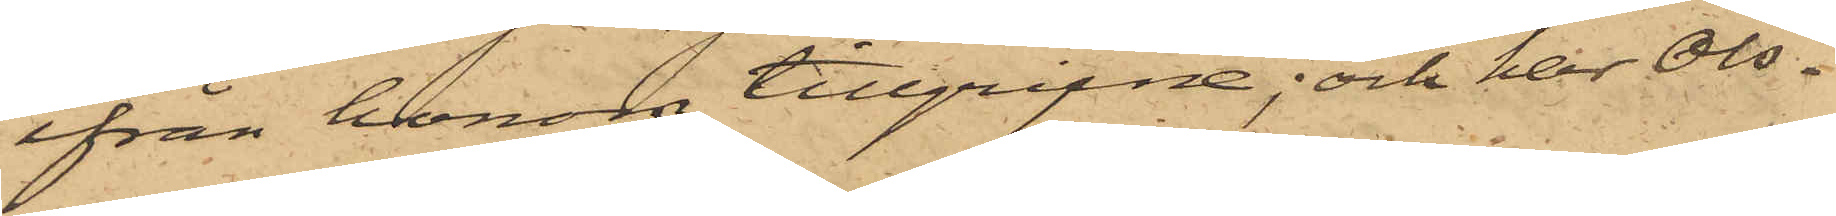ifrån honom tillgripne; och har Ols¬
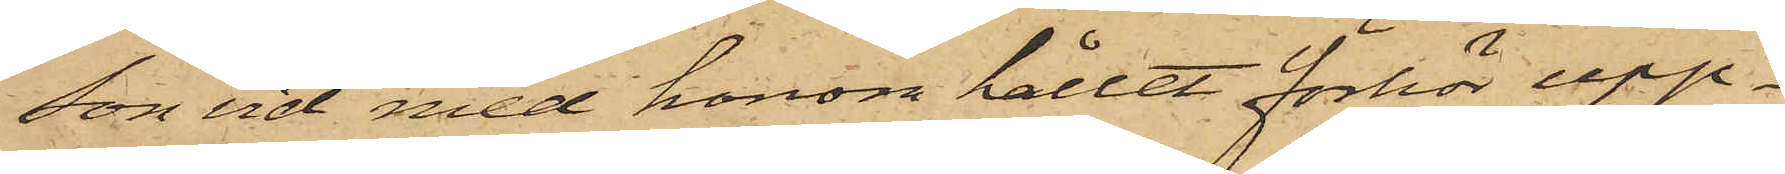son vid med honom hållet förhör upp¬
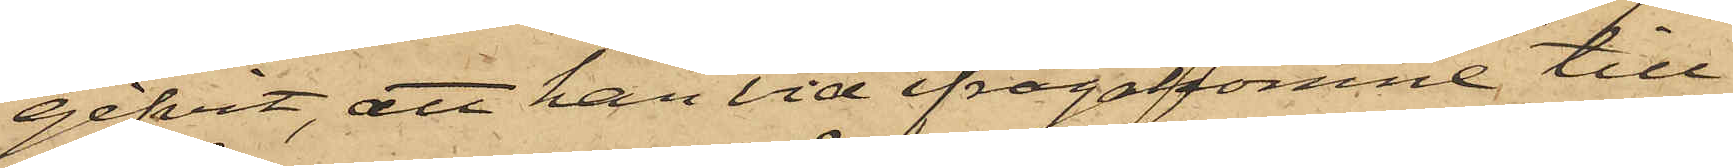gifvit, att han vid ifrågakomne till¬
